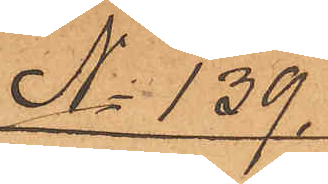No 139.
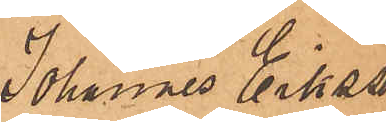Johannes Eriksson
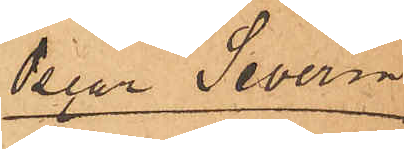& Oscar Severin
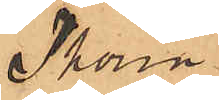Thorin
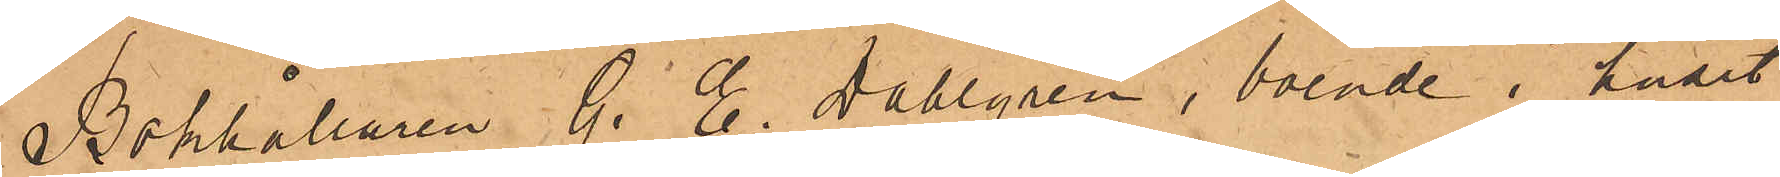Bokhållaren G. E. Dahlgren, boende i huset
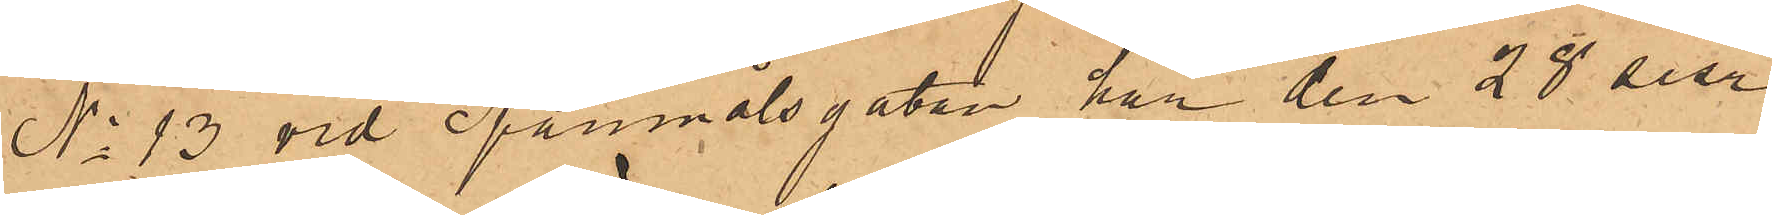No 13 vid Spannmålsgatan har den 28 sist.
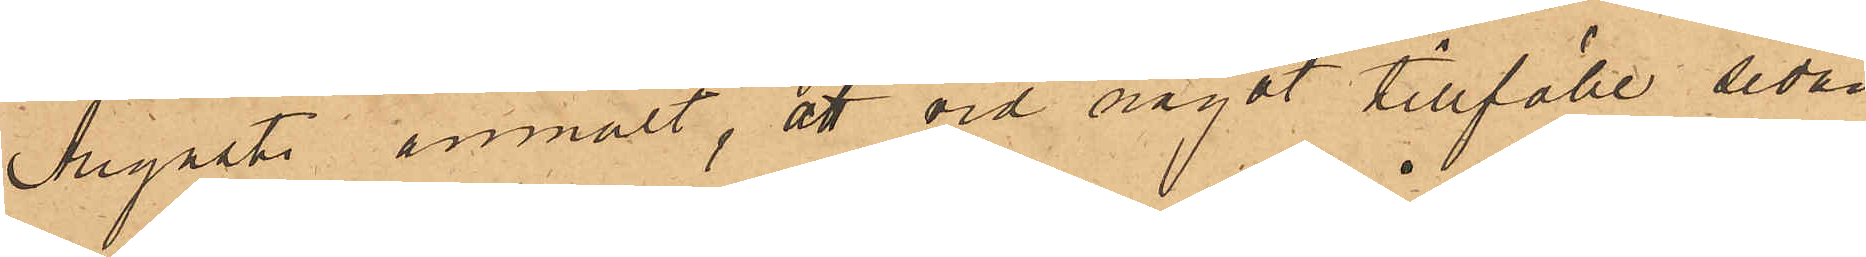Augusti anmält, att vid något tillfälle sedan
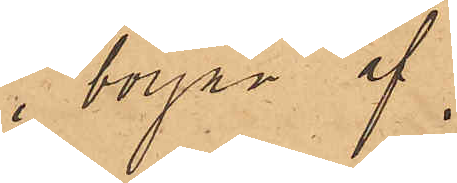i början af
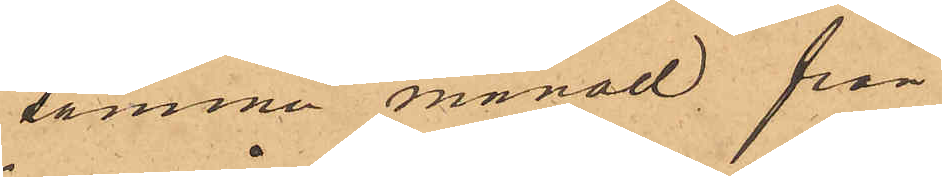samma månad från
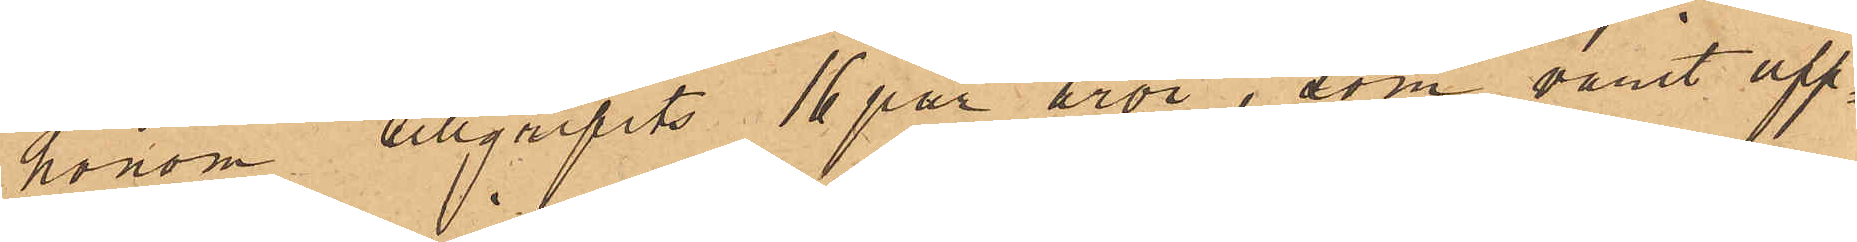honom tillgripits 16 par åror, som varit upp¬
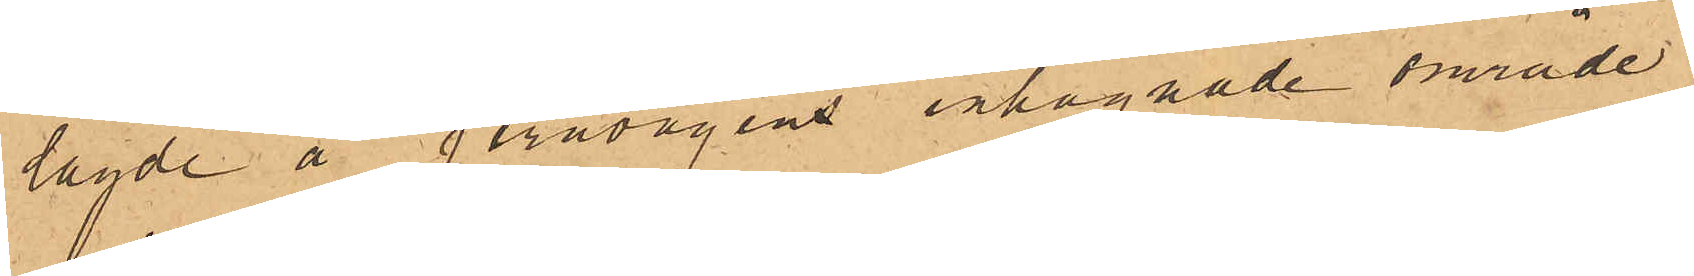lagde å jernvågens inhägnade område.
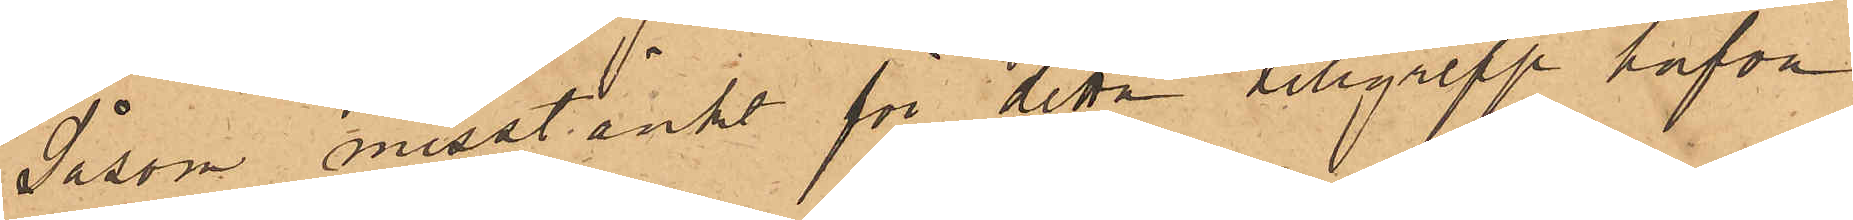Såsom misstänkt för detta tillgrepp hafva
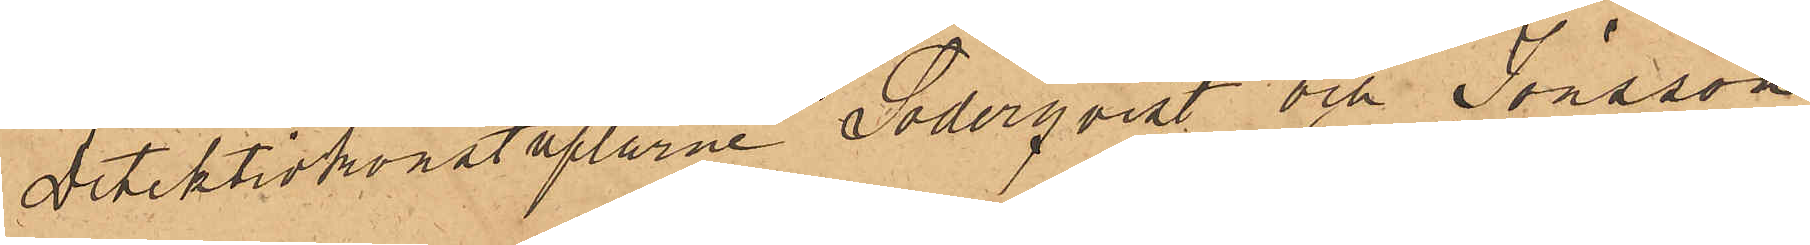Detektivkonstaplarne Söderqvist och Jönsson
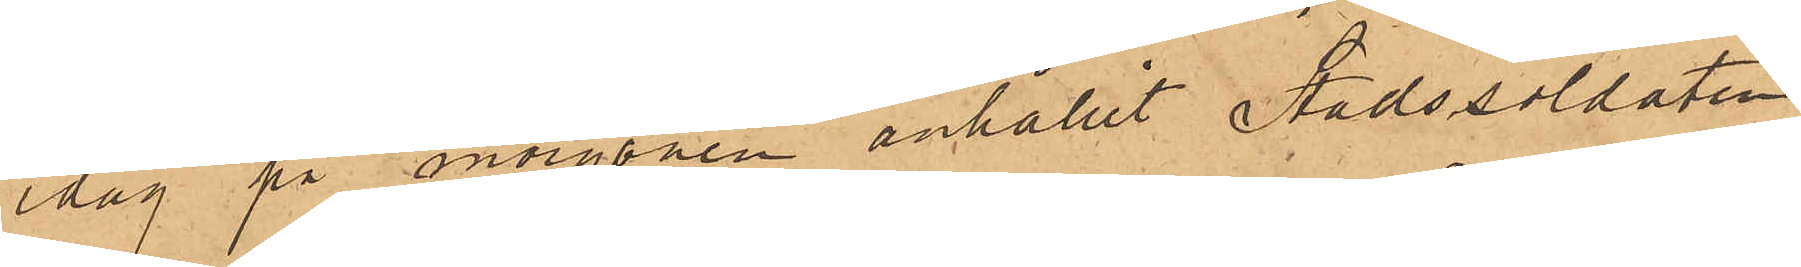idag på morgonen anhållit Stadssoldaten
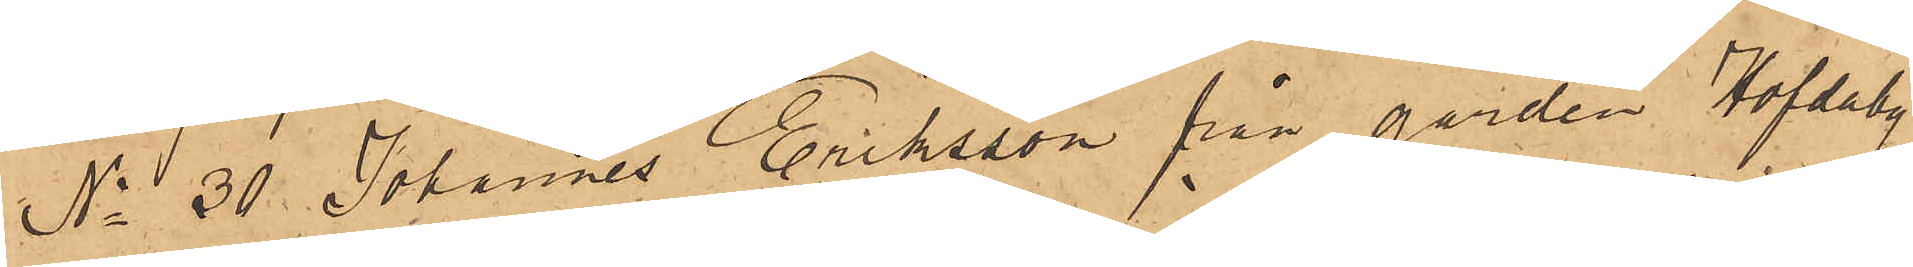No 30 Johannes Eriksson från gården Hofdaby
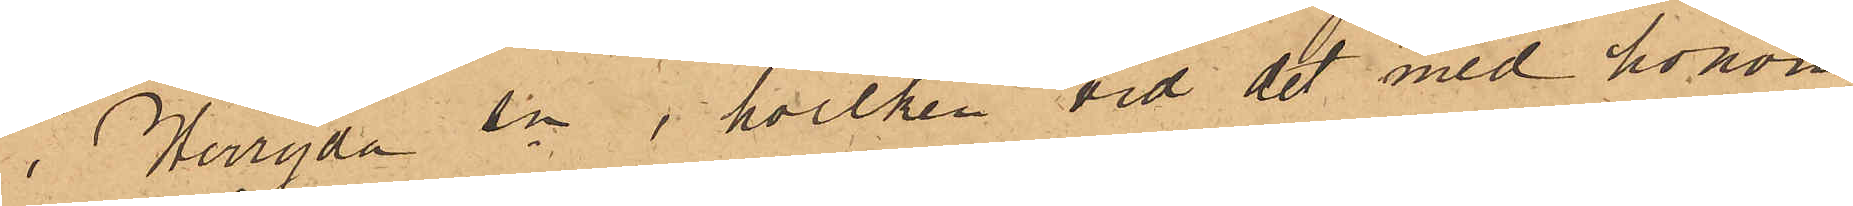i Herryda sn, hvilken vid det med honom
